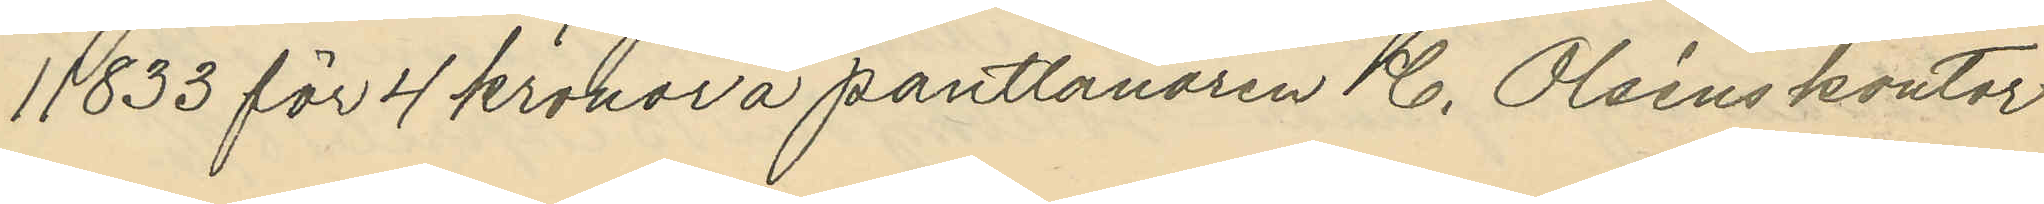11833 för 4 kronor å pantlånaren C. Olséns kontor
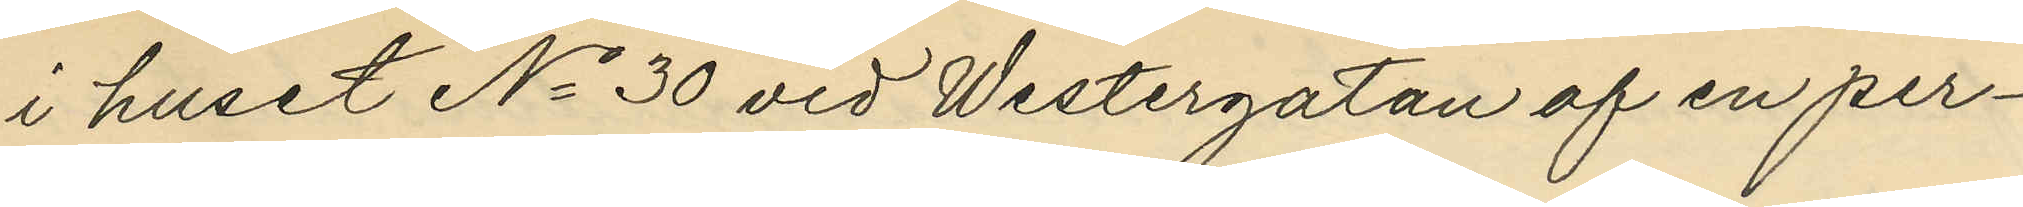i huset No 30 vid Westergatan af en per¬
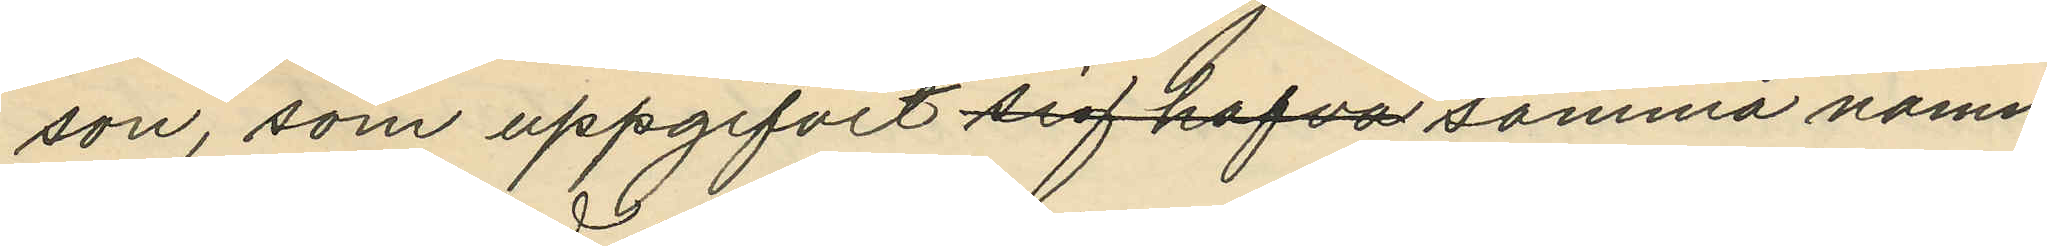son, som uppgifvit sig hafva samma namn
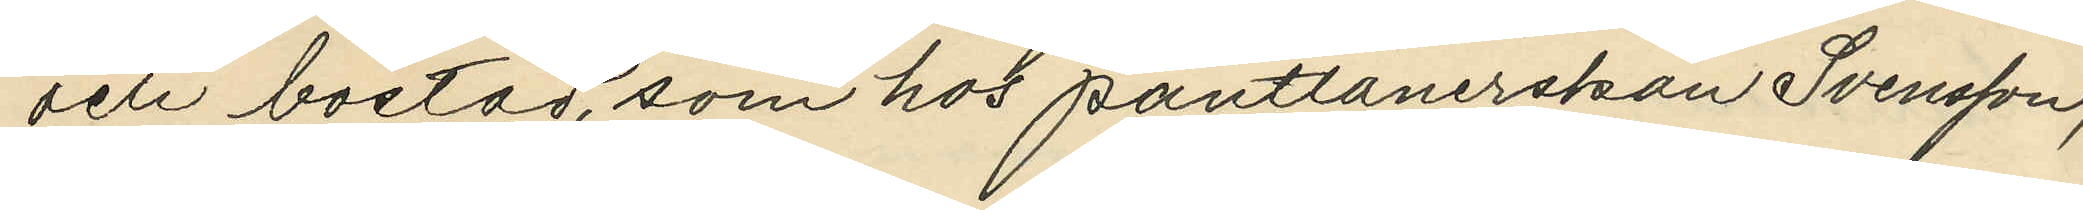och bostad, som hos pantlånerskan Svensson;
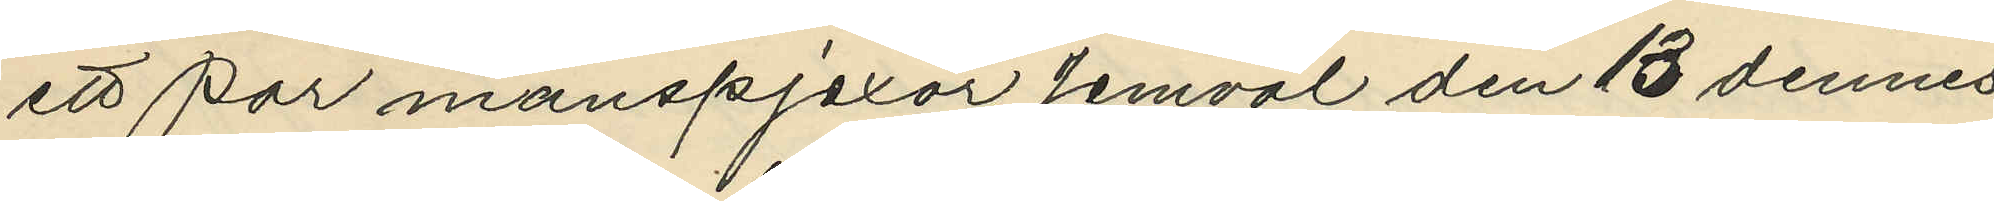ett par manspjexor jemväl den 13 dennes
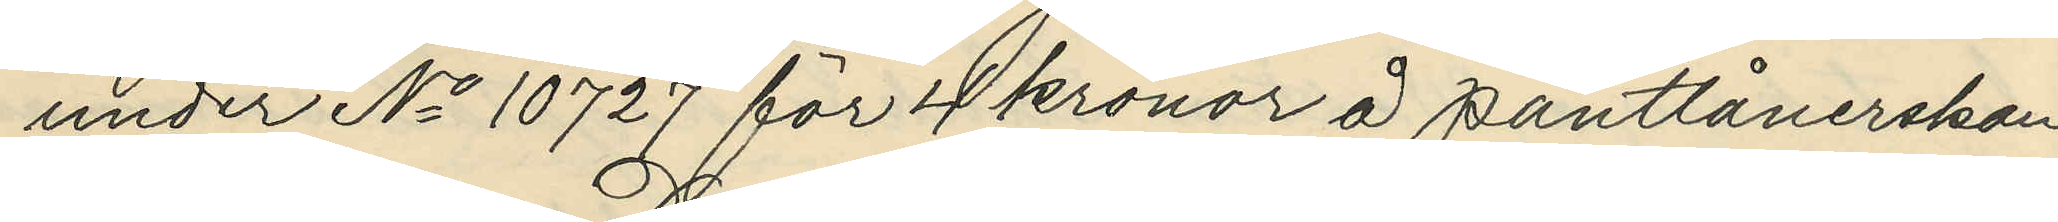under No 10727 för 4 kronor å pantlånerskan
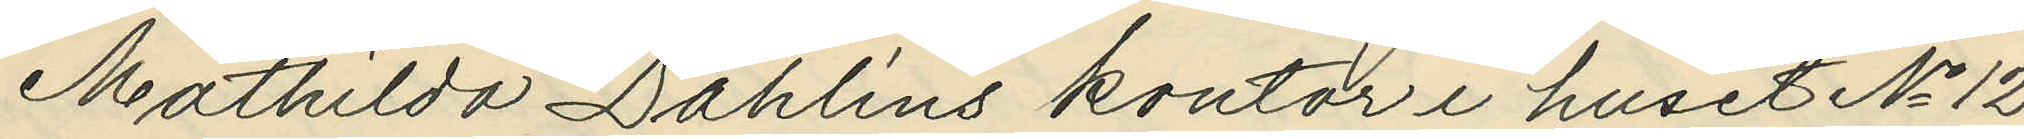Mathilda Dahlins kontor i huset No 12
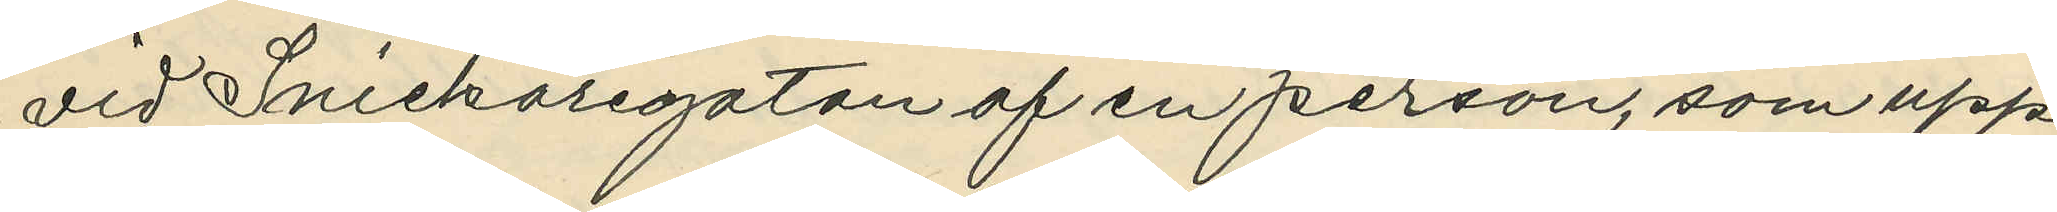vid Snickaregatan af en person, som upp¬
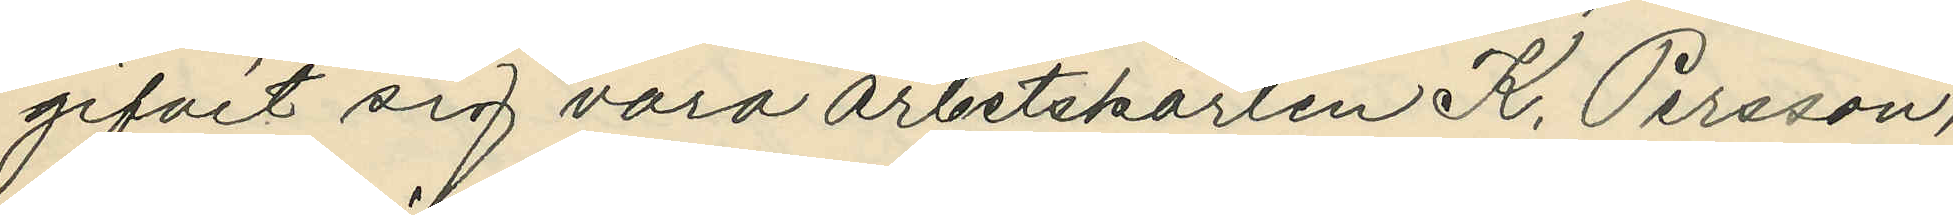gifvit sig vara arbetskarlen K. Persson,
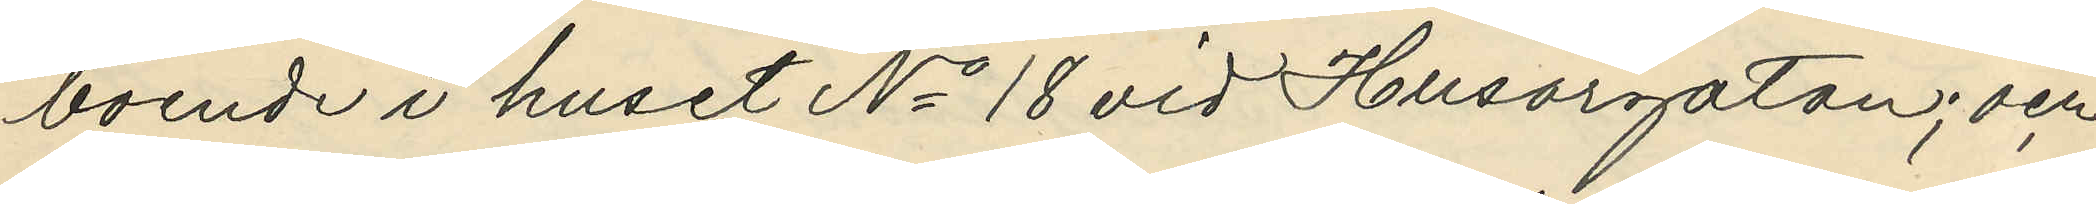boende i huset No 18 vid Husargatan; och
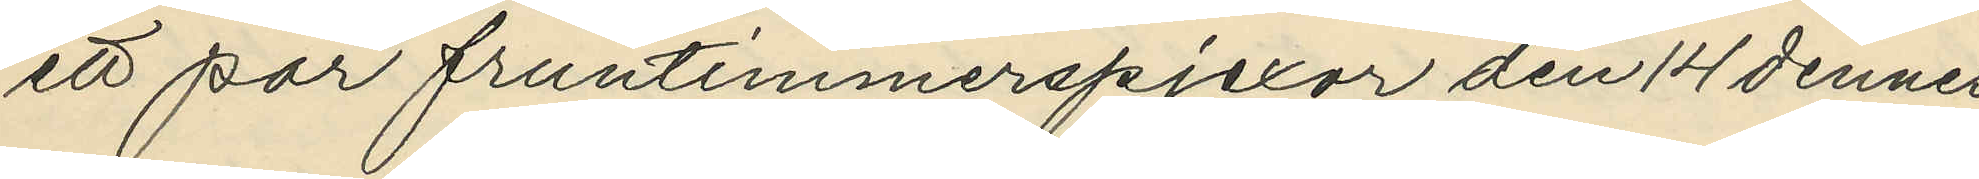ett par fruntimmerspjexor den 14 dennes
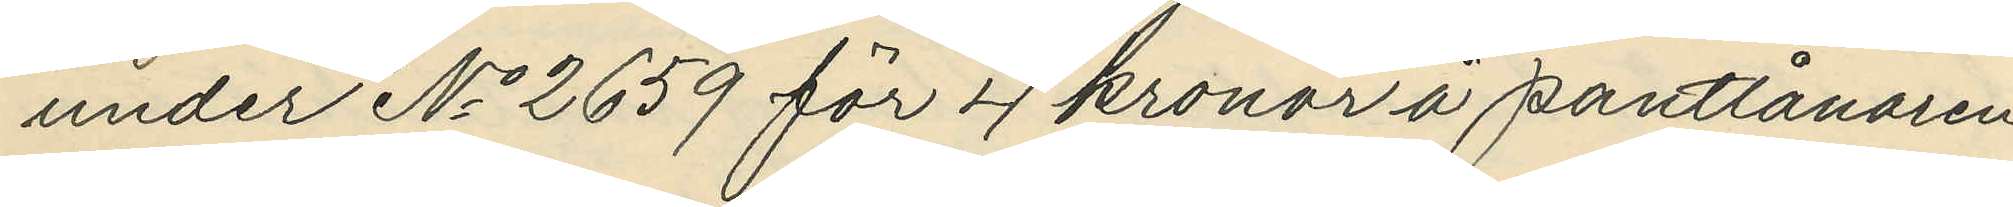under No 2659 för 4 kronor å pantlånaren
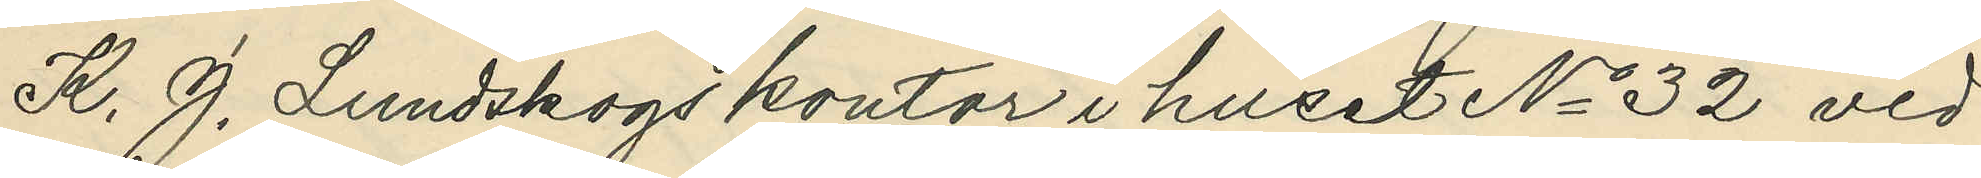K. J. Lundskogs kontor i huset No 32 vid
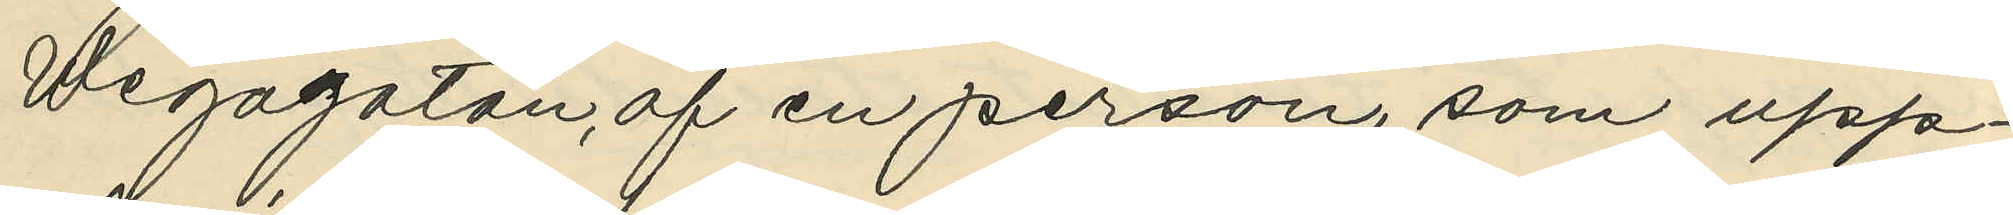Wegagatan, af en person, som upp¬
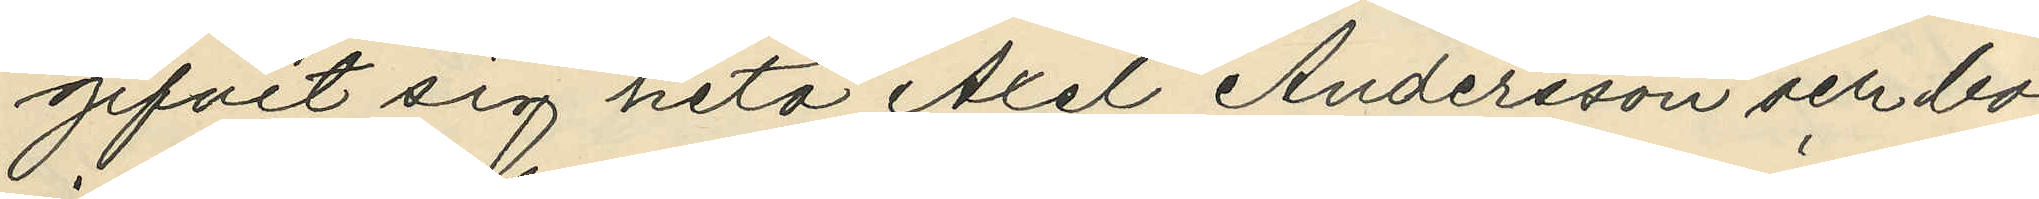gifvit sig heta Axel Andersson och bo
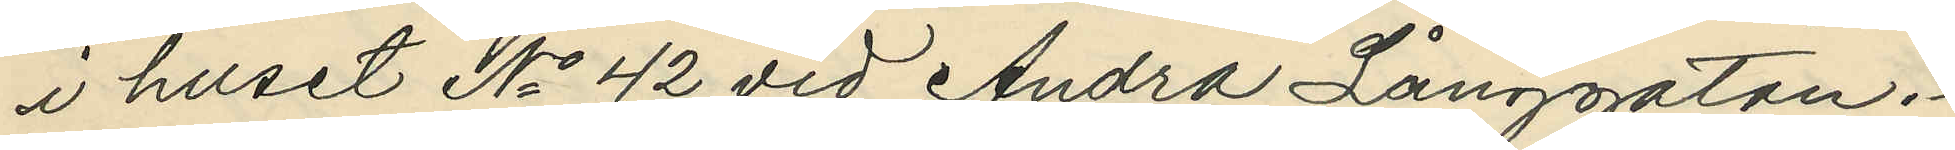i huset No 42 vid Andra Långgatan.
